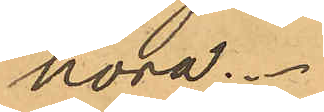höra.
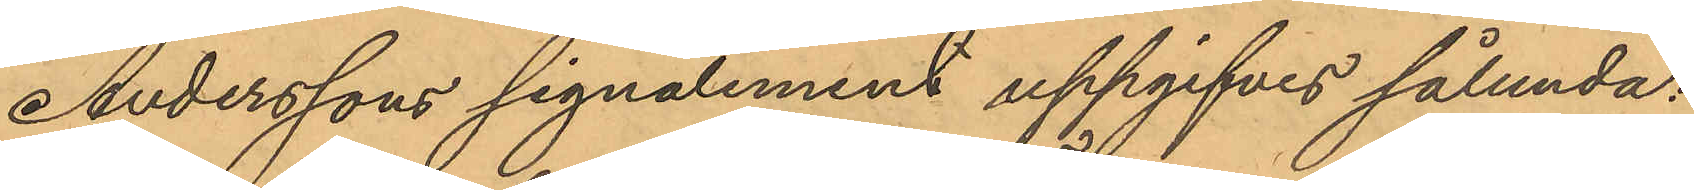Anderssons signalement uppgifvit sålunda:
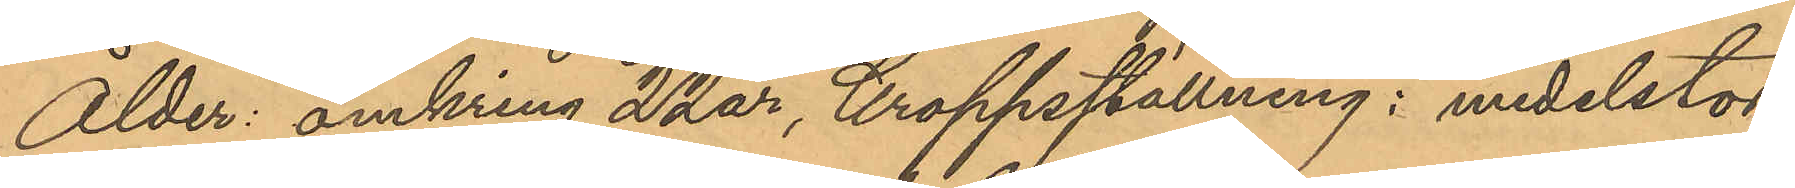Ålder: omkring 22 år, kroppsställning: medelstor,
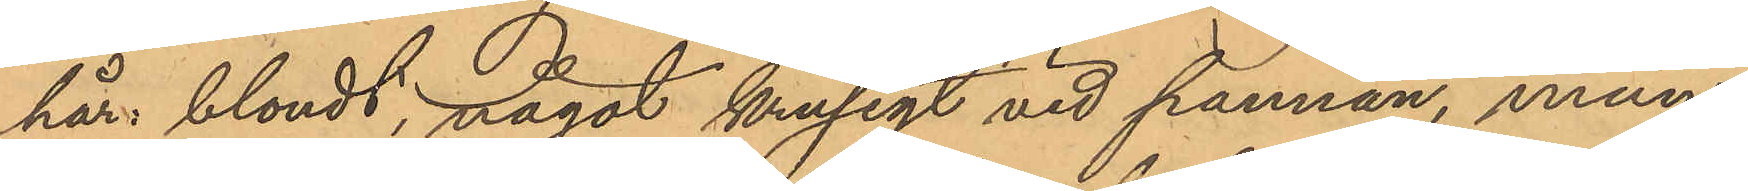här: blondt, något krusigt vid pannan, mun:
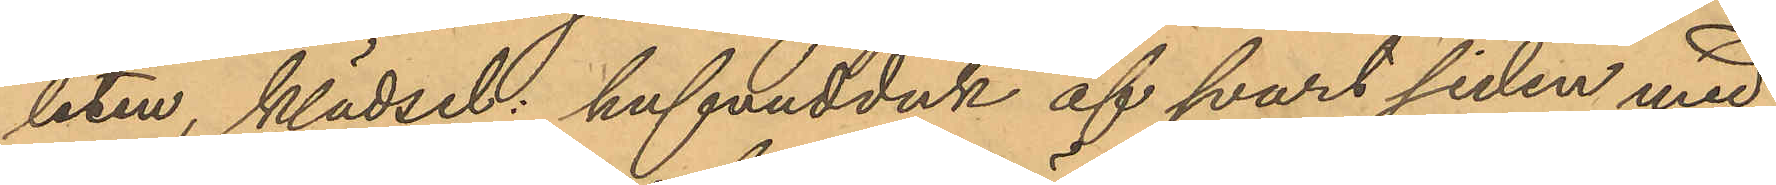liten, klädsel: hufvudduk af svart siden med
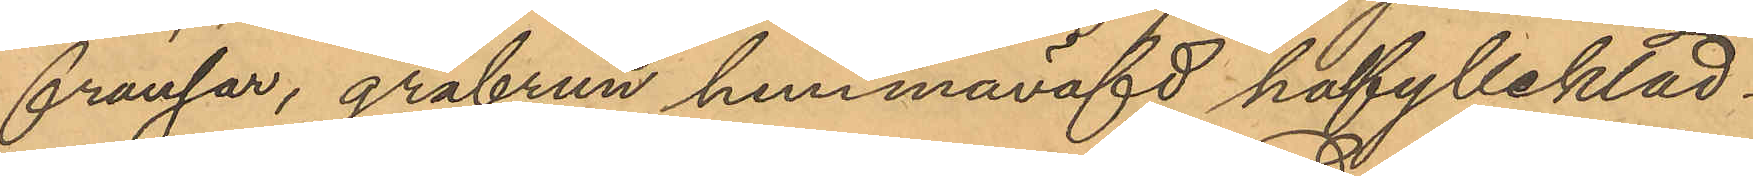fransar, gråbrun hemmaväfd halfyllekläd¬
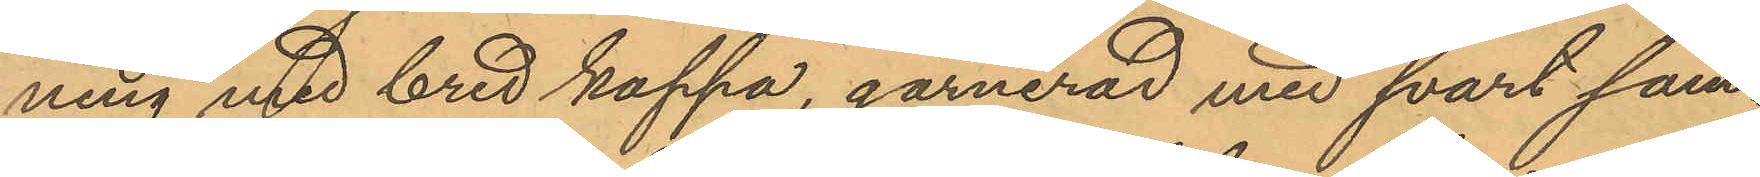ning med bred kappa, garnerad med svart sam¬
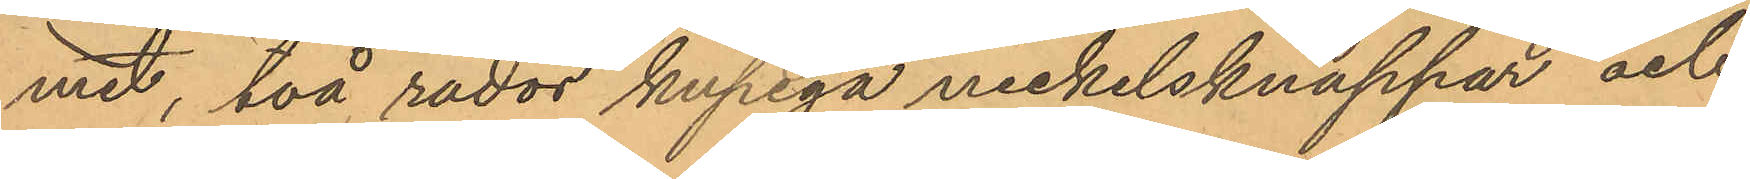met, två rader kupiga nickelsknappar och
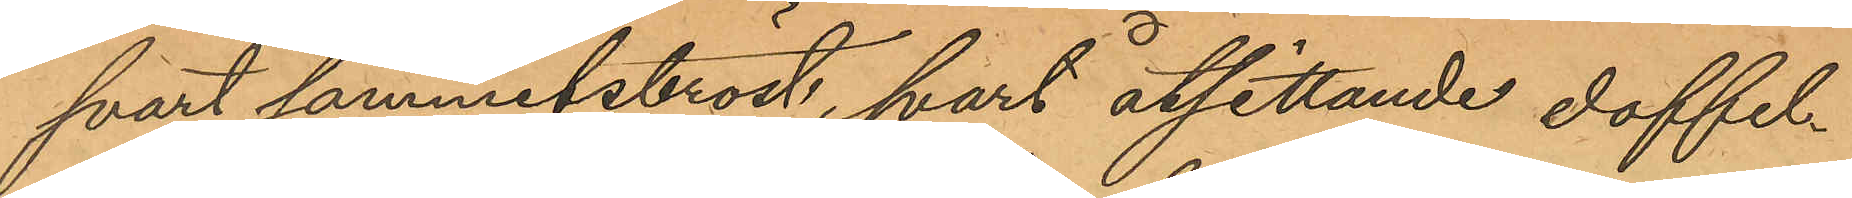svart sammetsbröst, svart åtsittande doffel¬
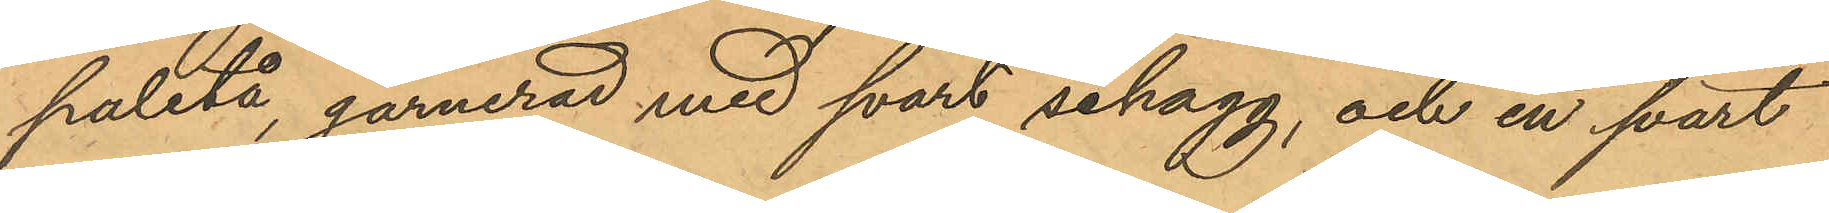paletå, garnerad med svart schagg, och en svart
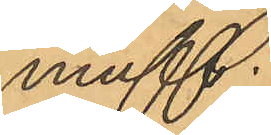muff.
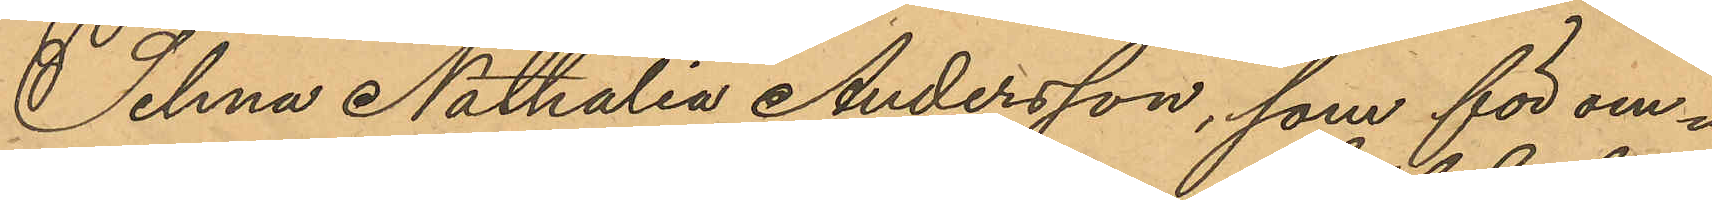Selma Nathalia Andersson, som för om¬
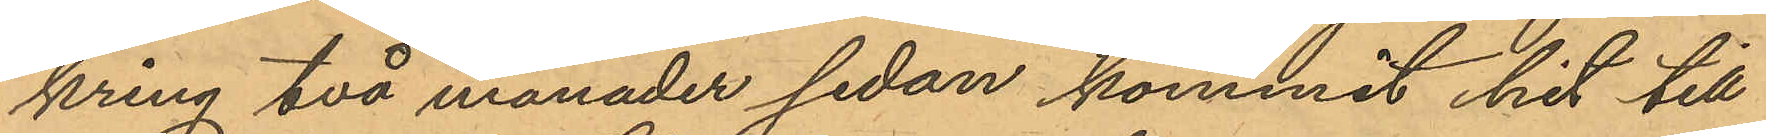kring två månader sedan kommit hit till
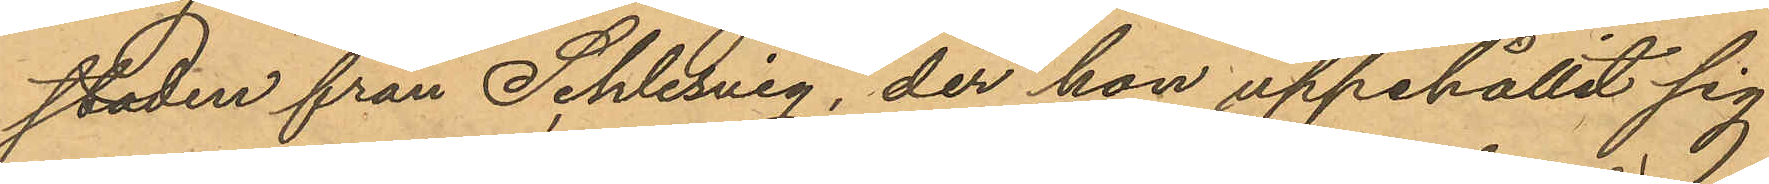staden från Schlesvig, der hon uppehållit sig
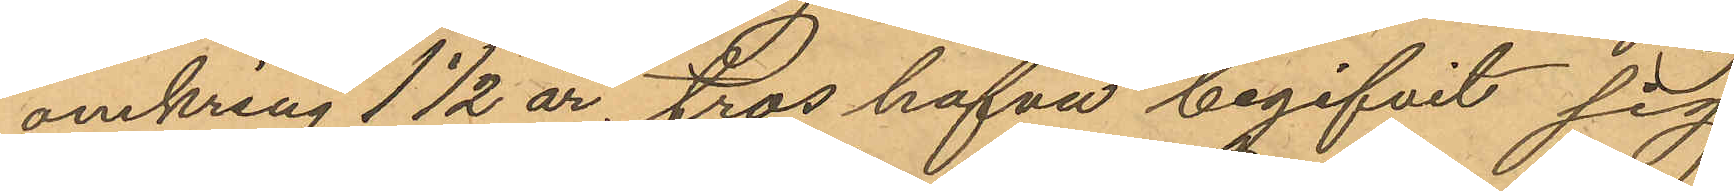omkring 1 1/2 år, tros hafva begifvit sig
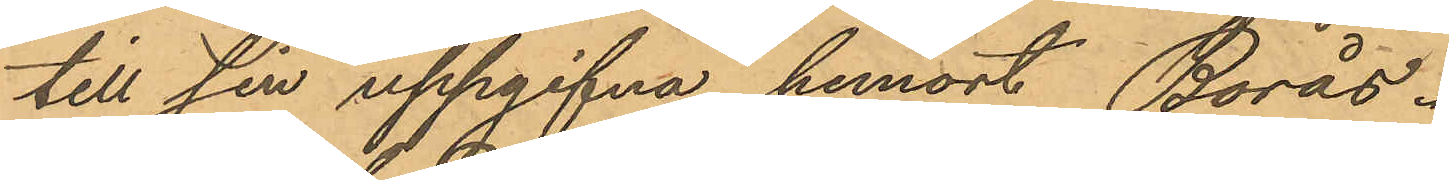till sin uppgifna hemort Borås.
